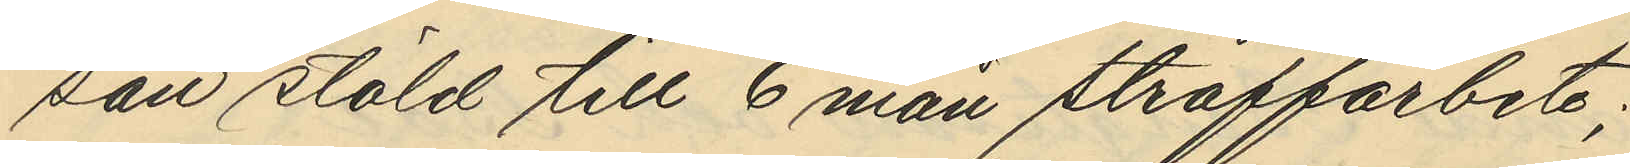san stöld till 6 mån straffarbete;
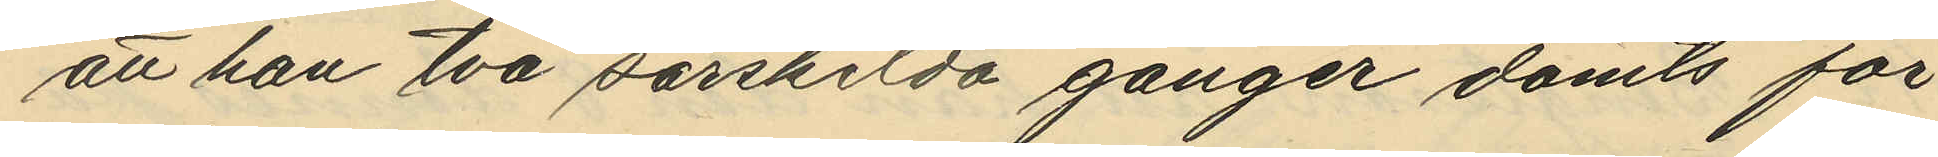att han två särskilda gånger dömts för
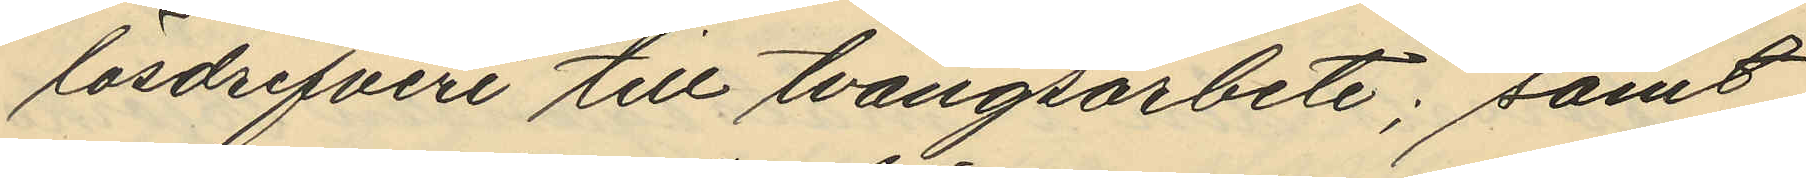lösdrifveri till tvångsarbete; samt
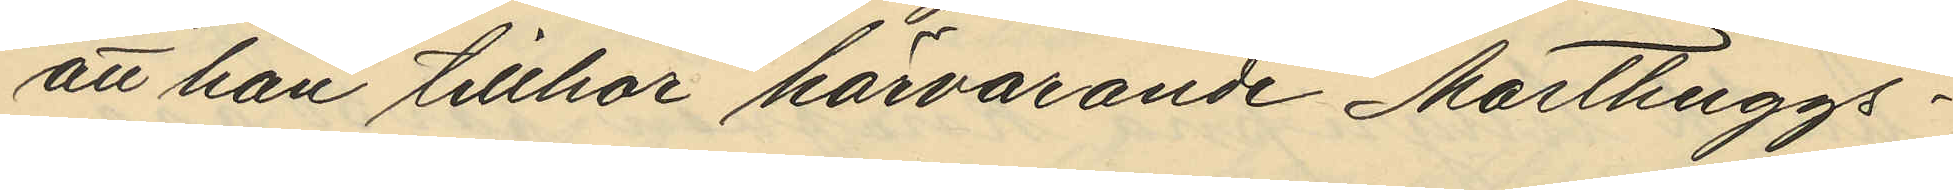att han tillhör härvarande Masthuggs¬
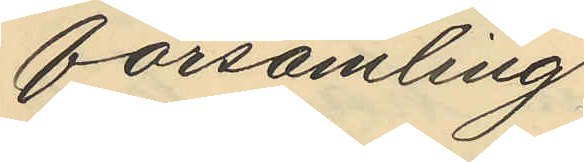församling
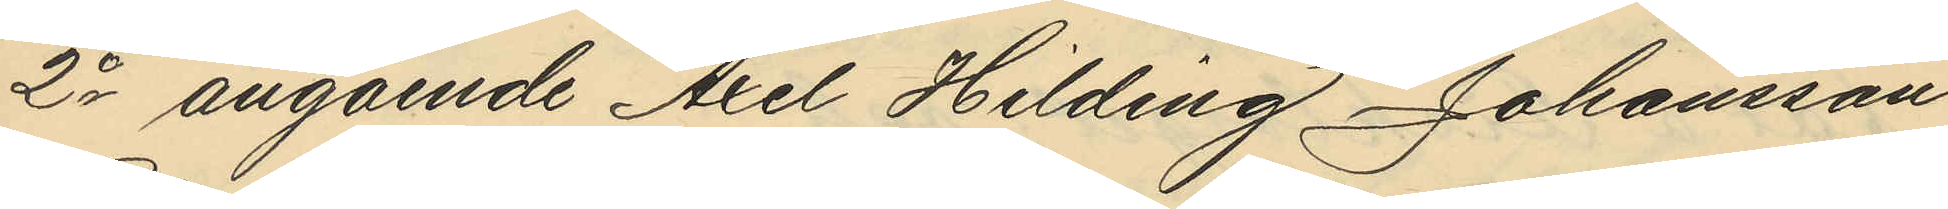2o angående Axel Hilding Johansson
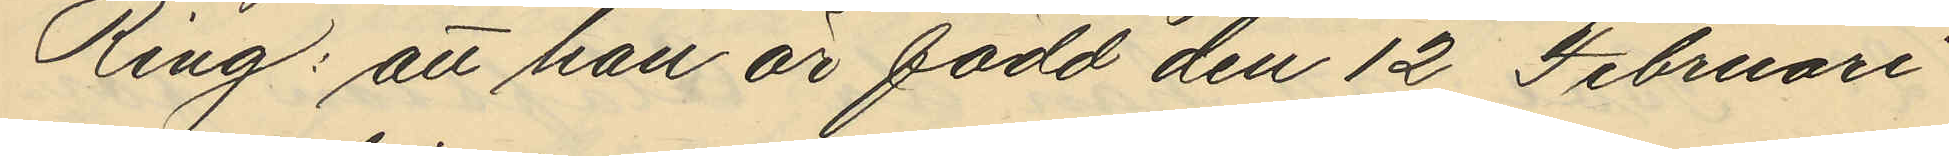Ring: att han är född den 12 Februari
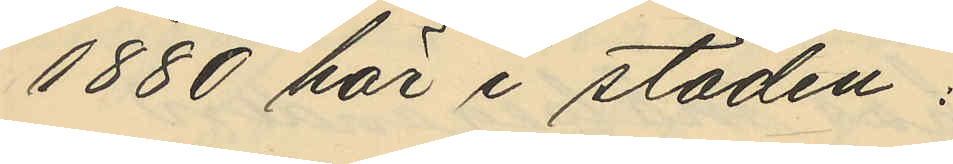1880 här i staden;
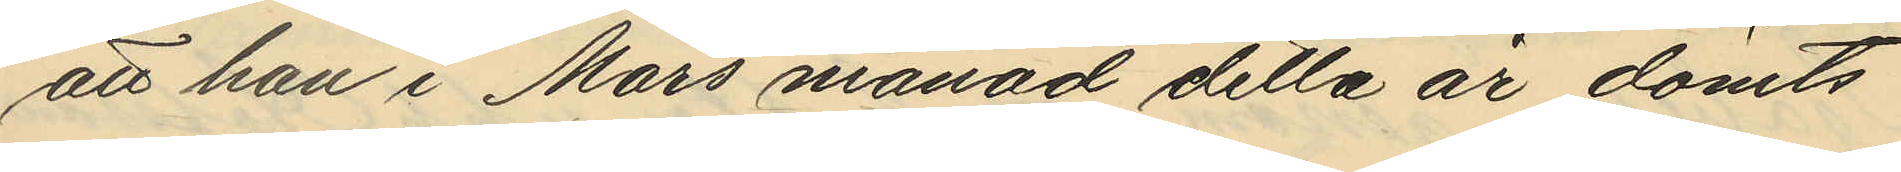att han i Mars månad detta är dömts
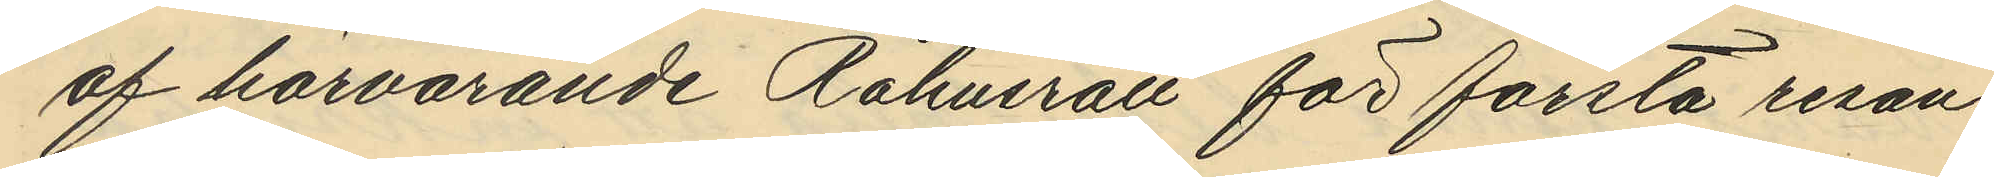af härvarande Råhusrätt för första resan
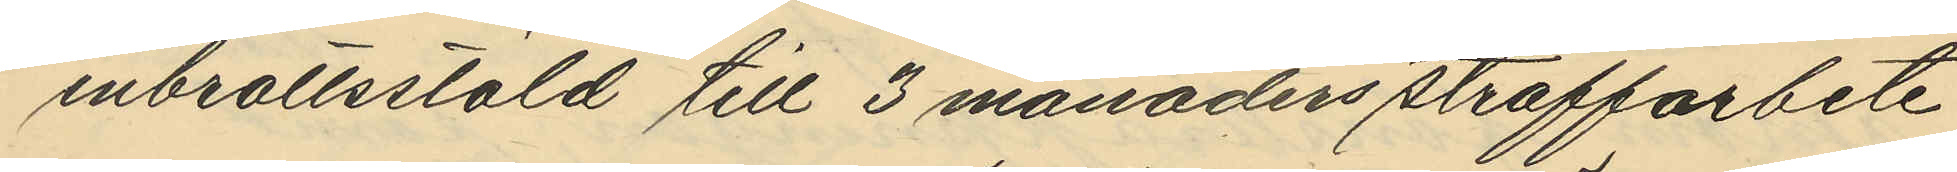inbrottsstöld till 3 månaders straffarbete
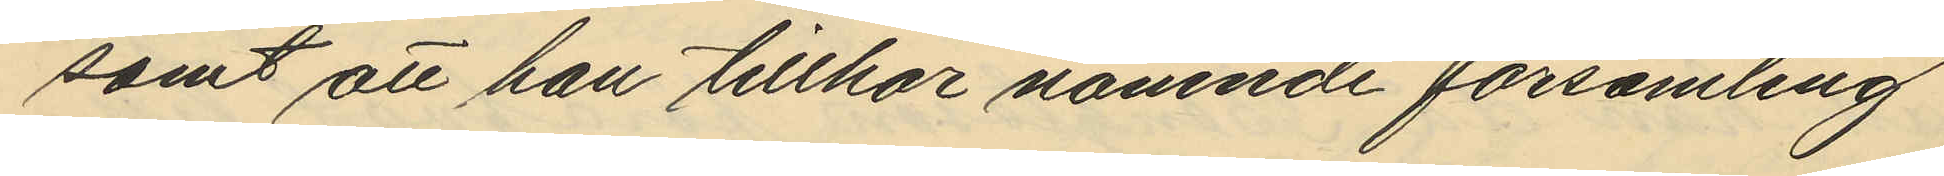samt att han tillhör nämnde församling
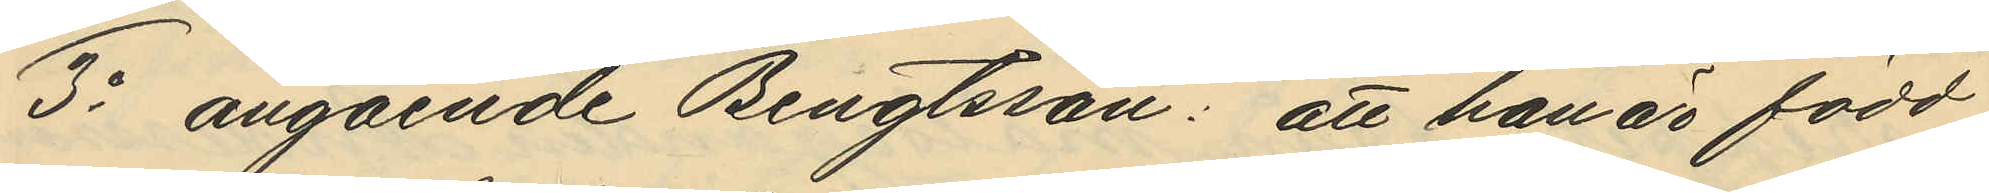3o angående Bengtsson: att han är född
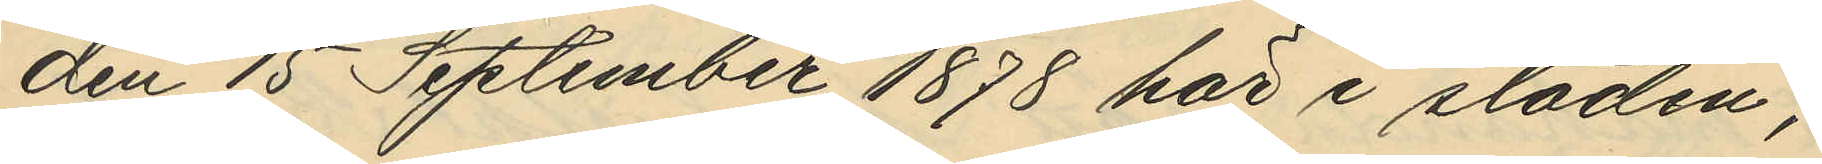den 15 September 1878 här i staden;
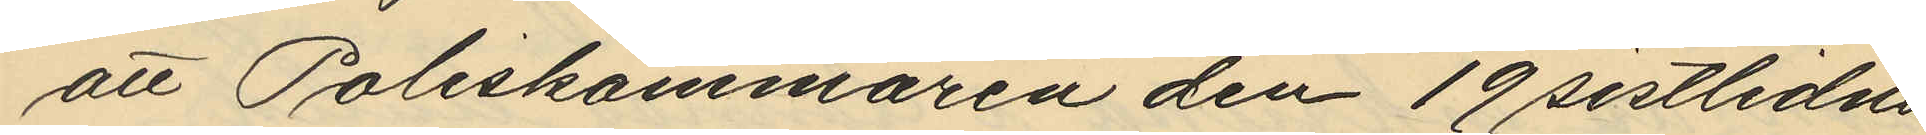att Poliskammaren den 19 sistlidne
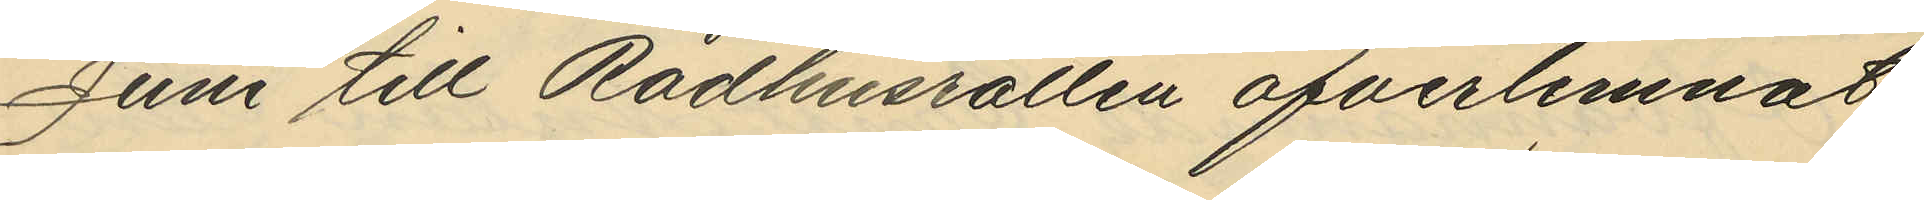Juni till Rådhusrätten öfverlemnat
